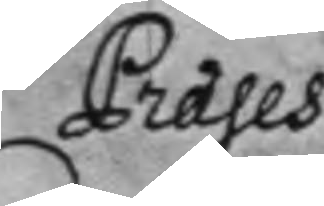Præses
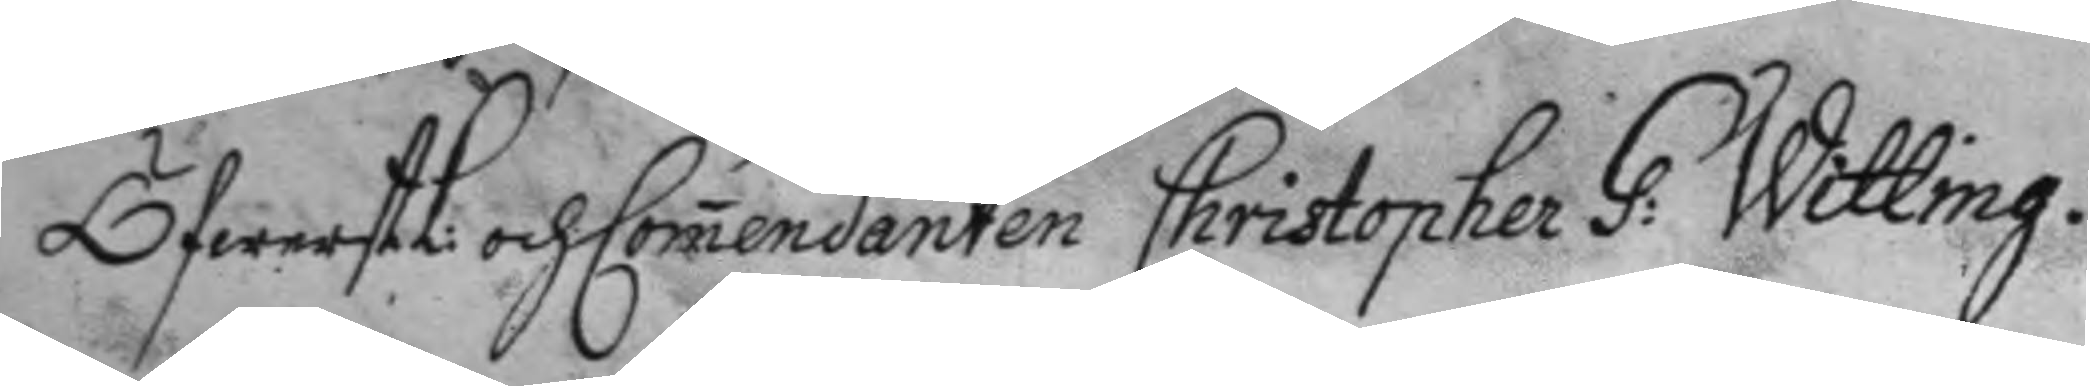ÖfwerstL: och Comendanten Christopher G: Witting.
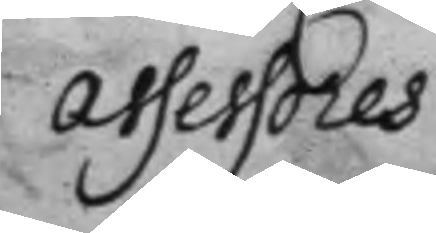assessores
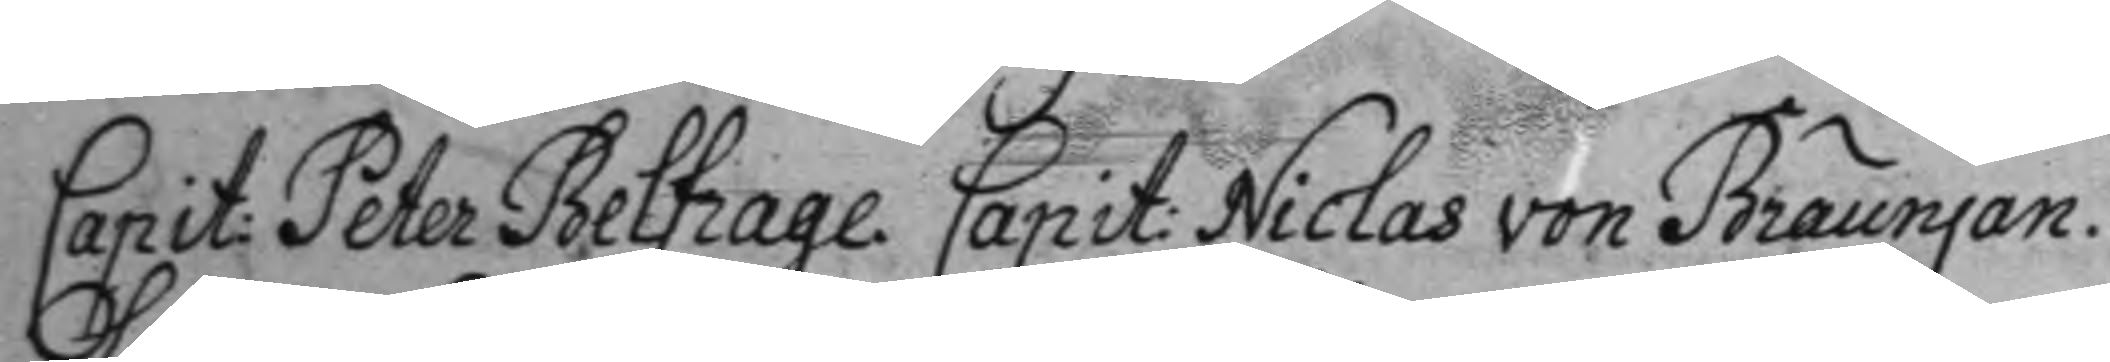Capit: Peter Belfrage. Capit: Niclas von Bräunjan.
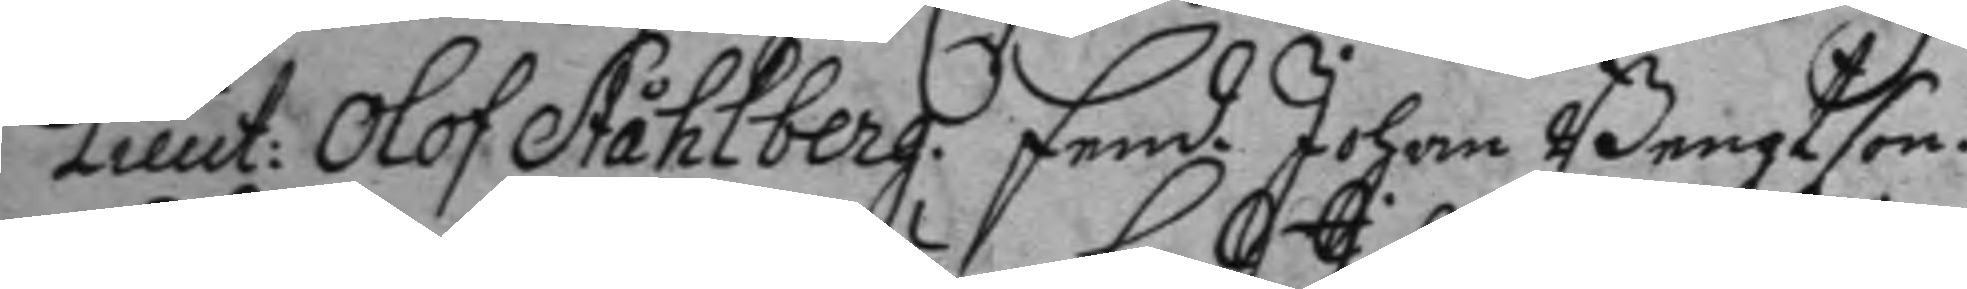Lieut: Olof Ståhlberg. fend. Johan Bengtson.
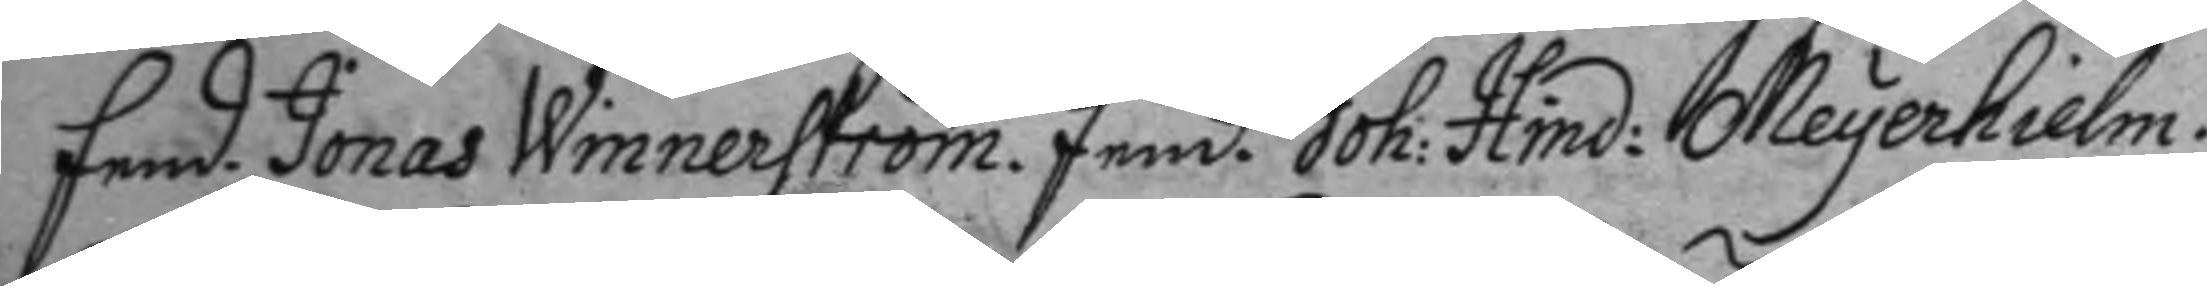fend. Jonas Winnerström. fend. Joh: Hind: Meyerhielm.
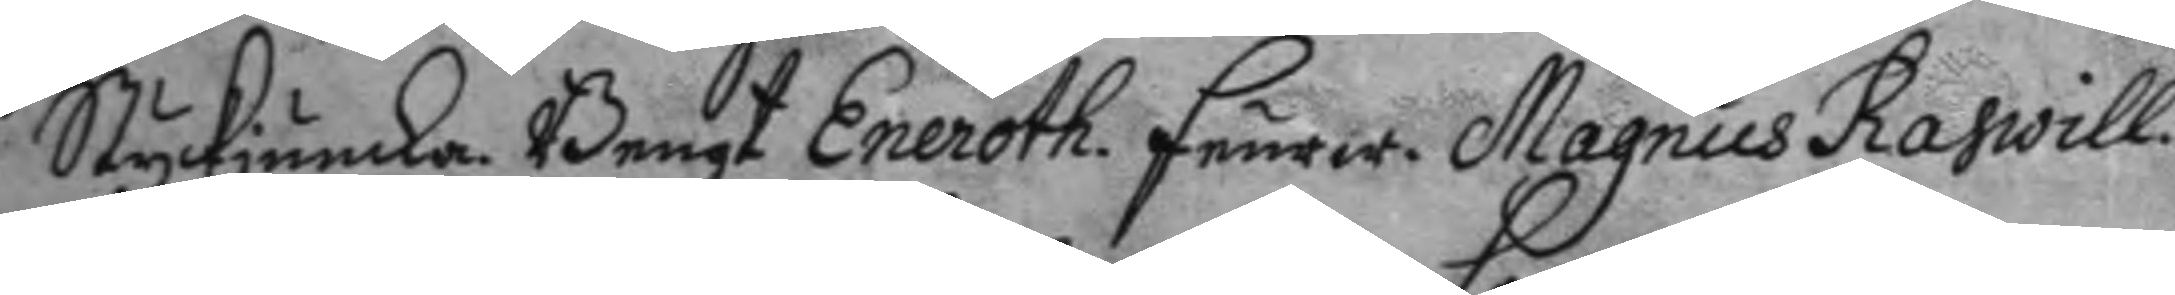Styckjunka. Bengt Eneroth. feurw. Magnus Radwill.
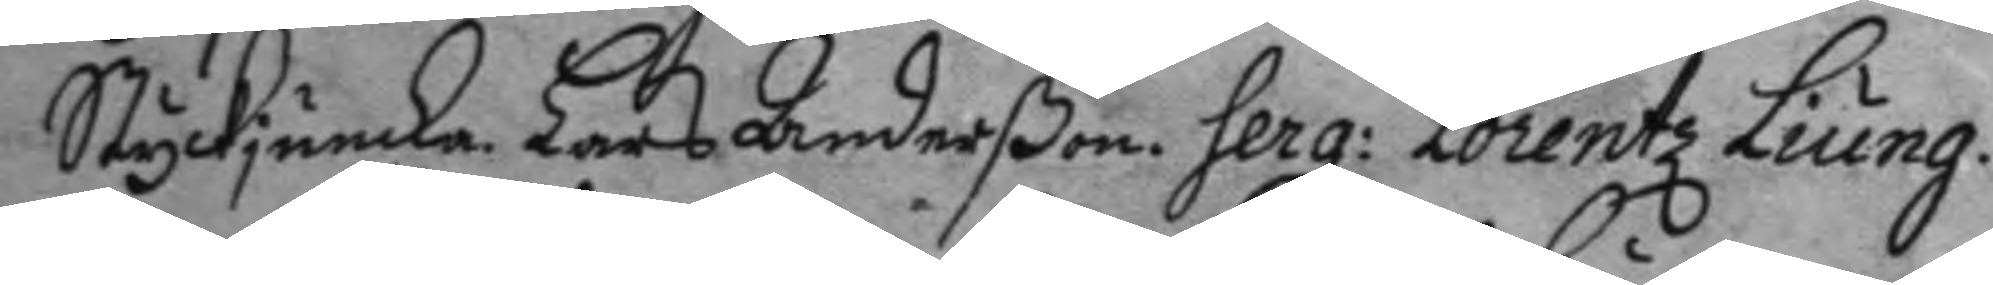Styckjunka. Lars Anderßon. Serg: Lorentz Liung.
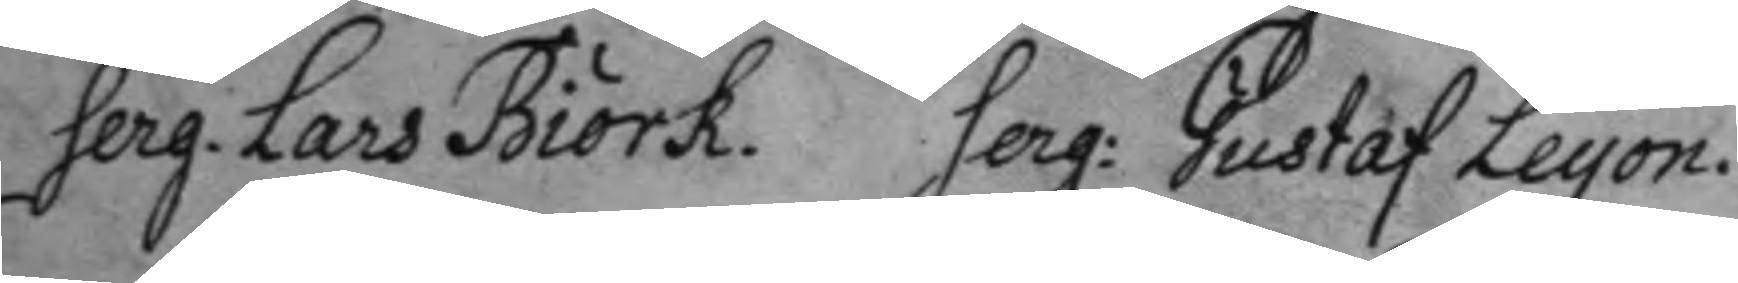Serg. Lars Biörk. Serg: Gustaf Leyon.
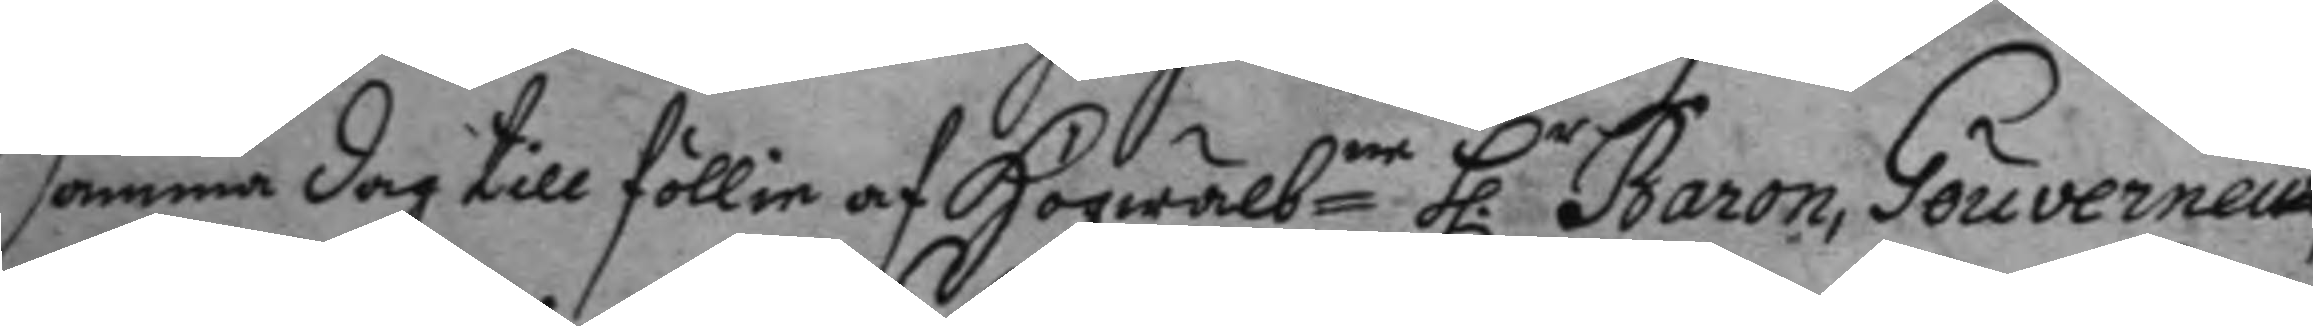Samma dag till föllie af Högwälbne h.r Baron, Gouverneu¬
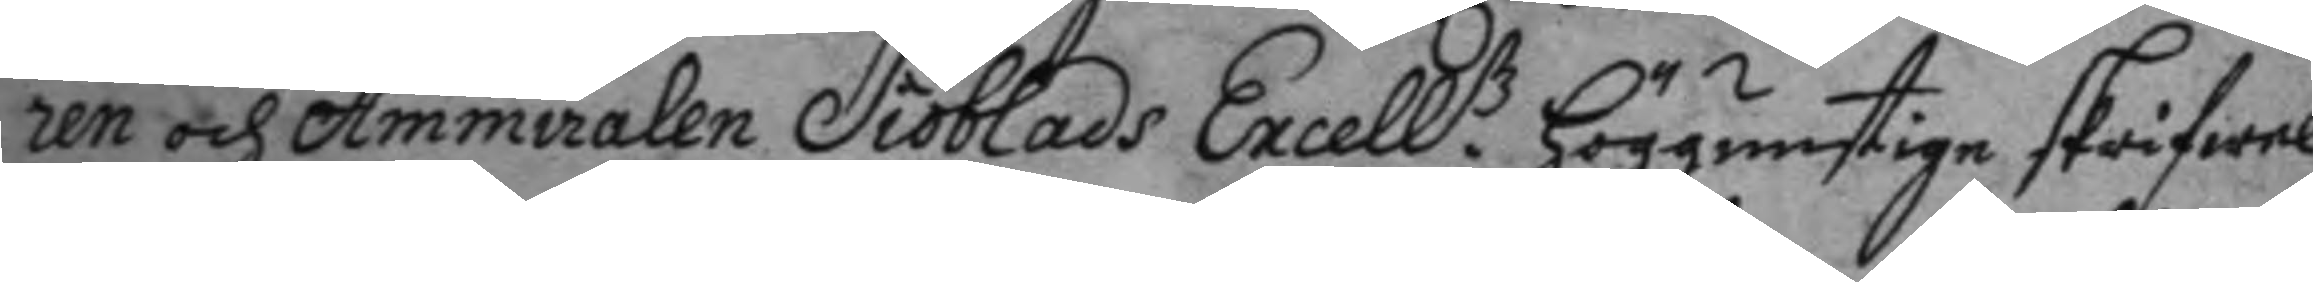ren och Ammiralen Siöblads Excell.tz höggunstige skrifwel¬
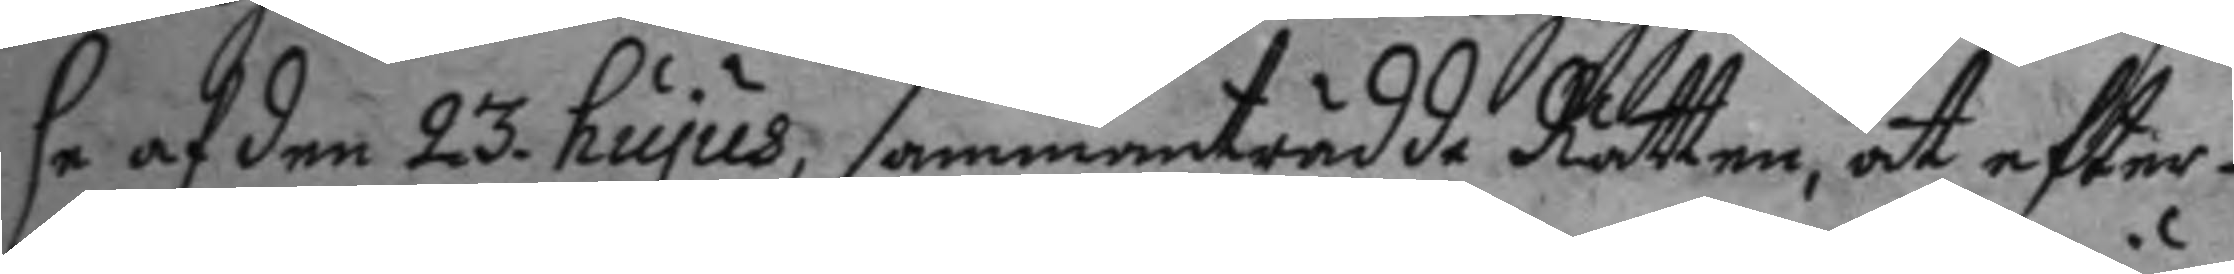se af den 23. hujus, sammanträdde Rätten, at efter
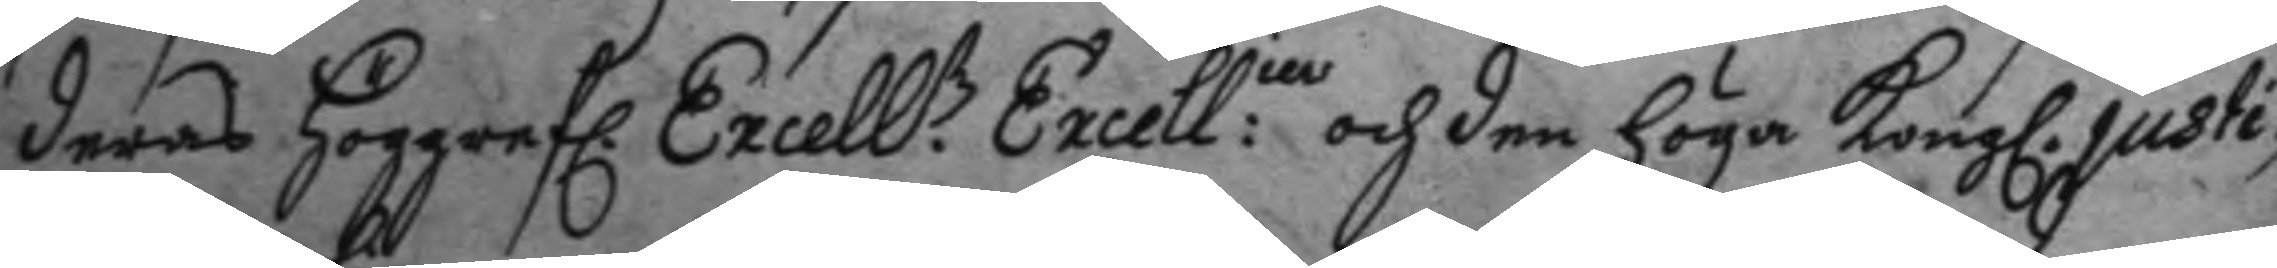deras höggrefl. Excell.tz Excell:in och den höga Kongl. justi¬
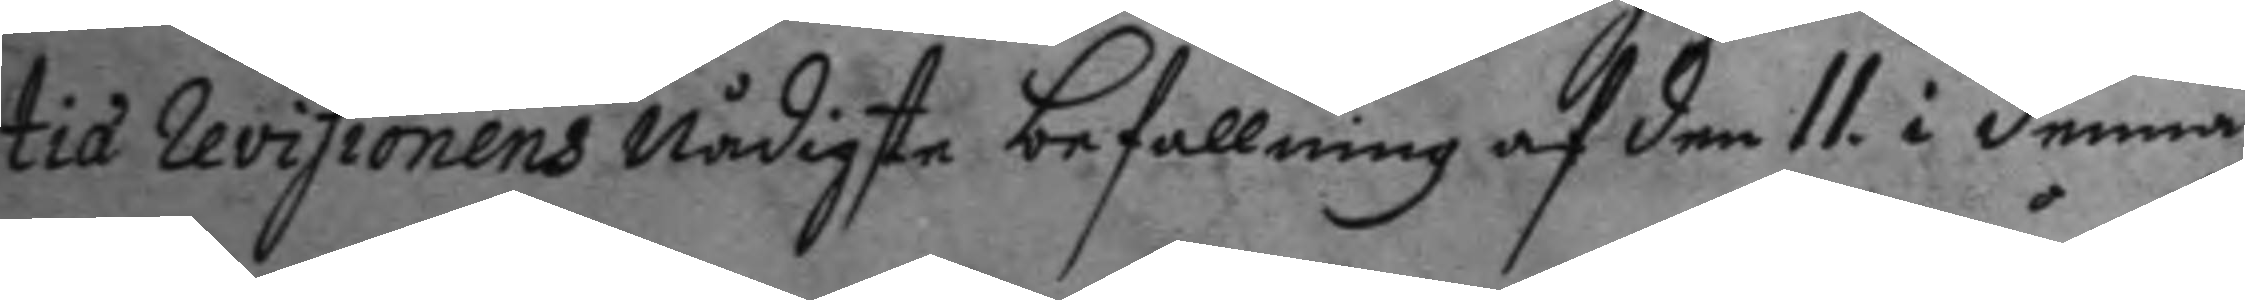tie revisionens nådigste befallning af den 11. i denna
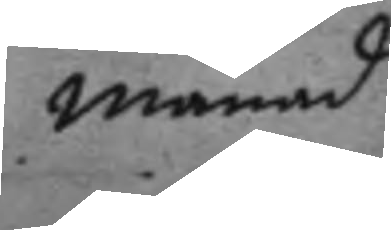månad
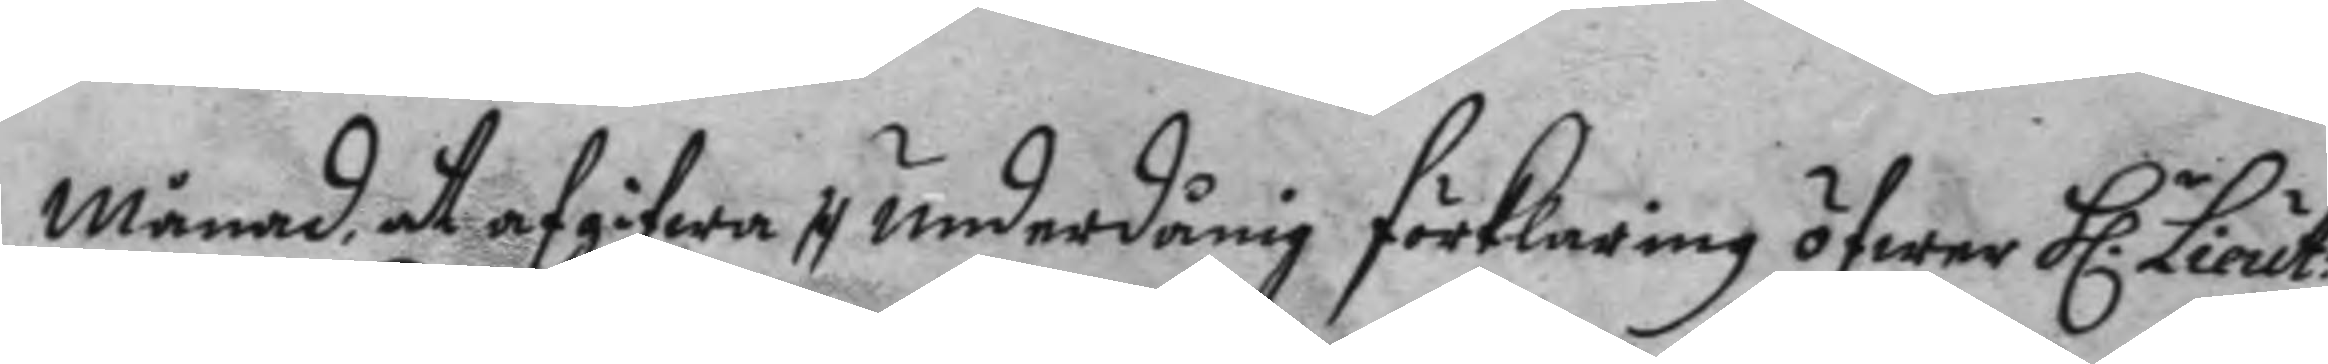månad at afgifwa tt underdånig förklaring öfwer h.r Lieut:
